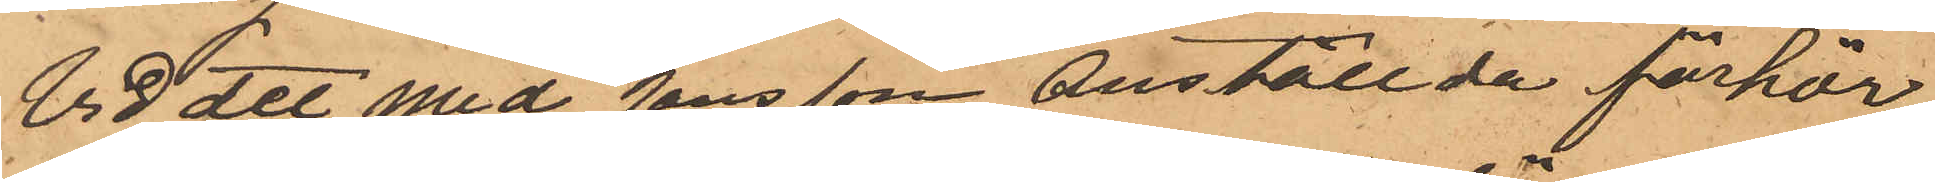Vid att med Jansson anställde förhör,
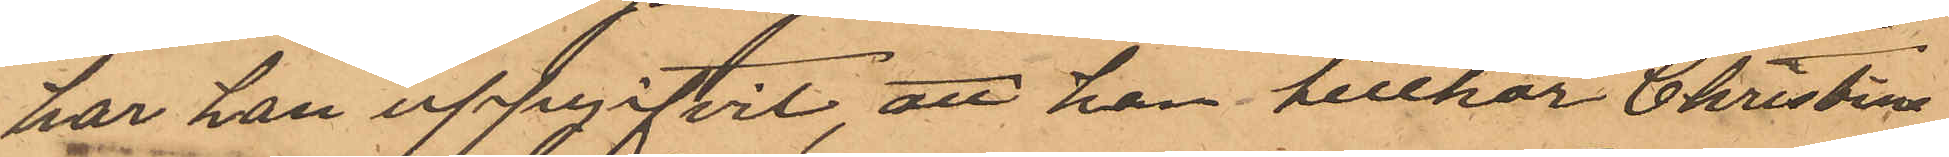har han uppgifvit att han tillhör Christine
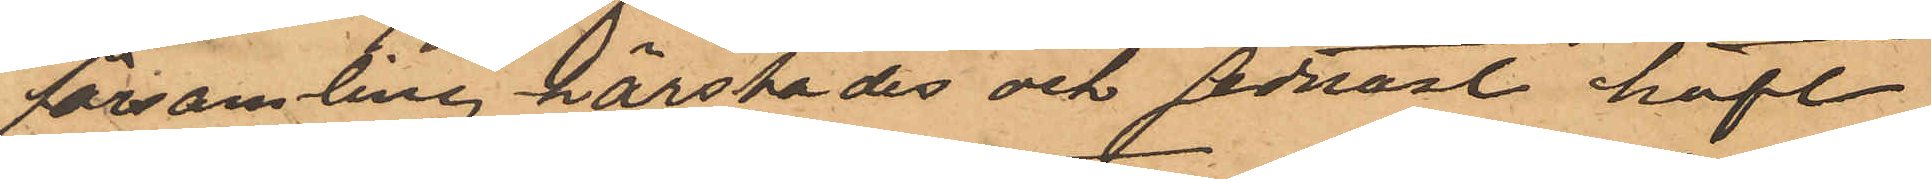församling härstädes och sednast haft
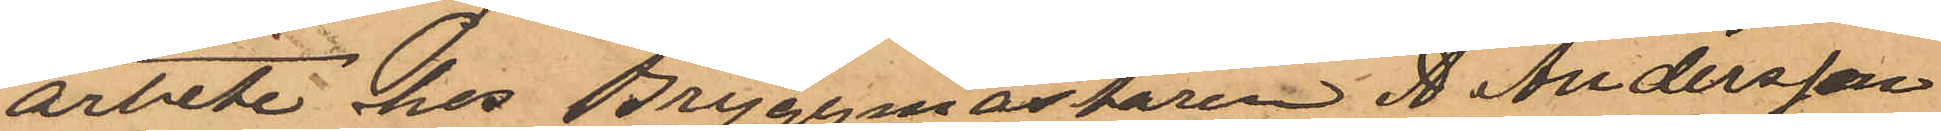arbete hos Bryggmästaren A. Andersson
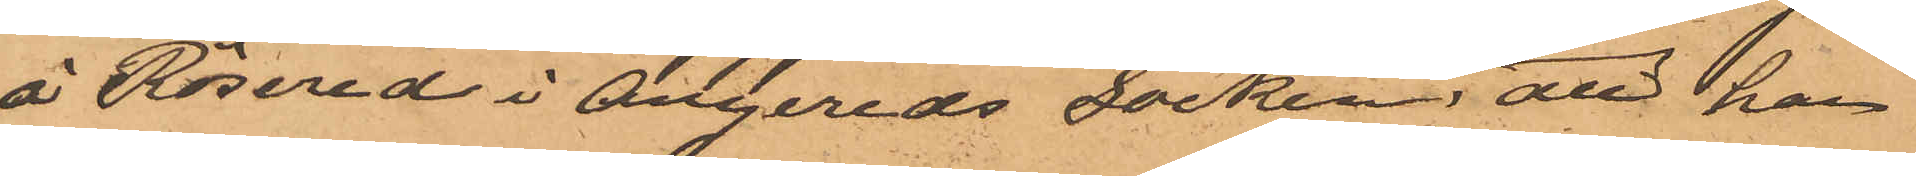å Rösered i Angereds socken, att han
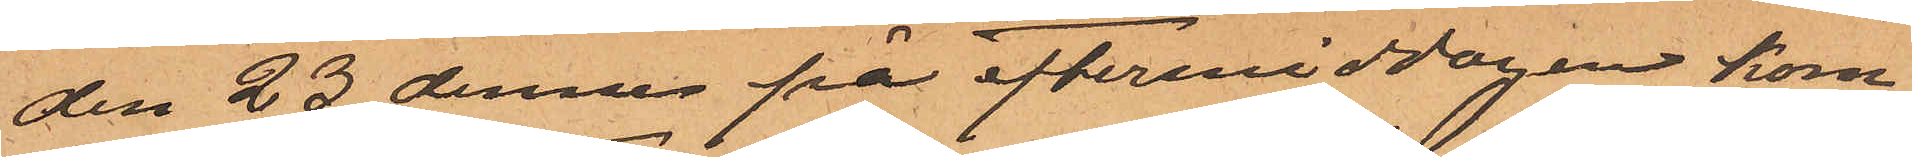den 23 dennes på eftermiddagen kom¬
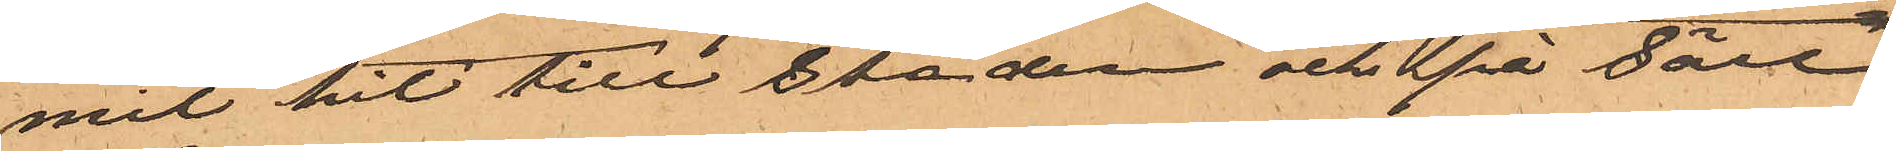mit hit till staden och på förre
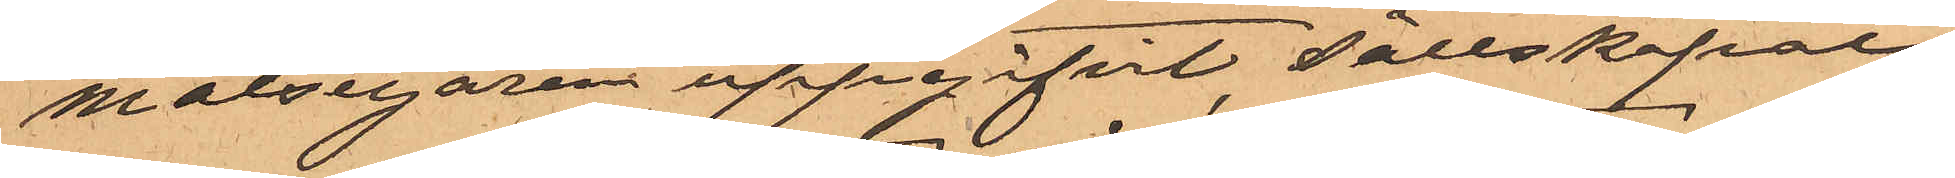målsegaren uppgifvit sällskapat
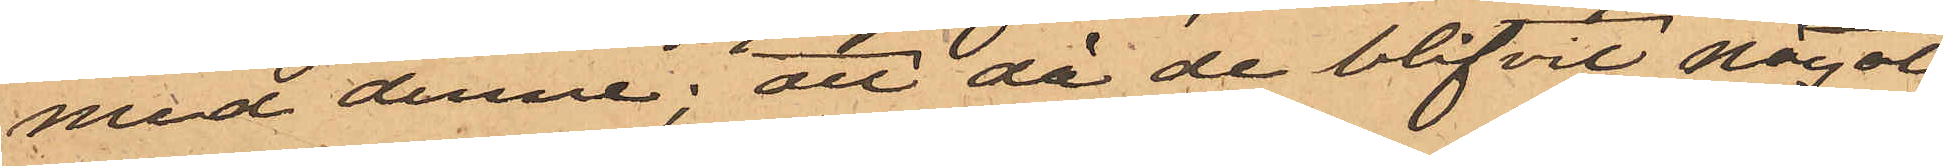med denne; att då de blifvit något
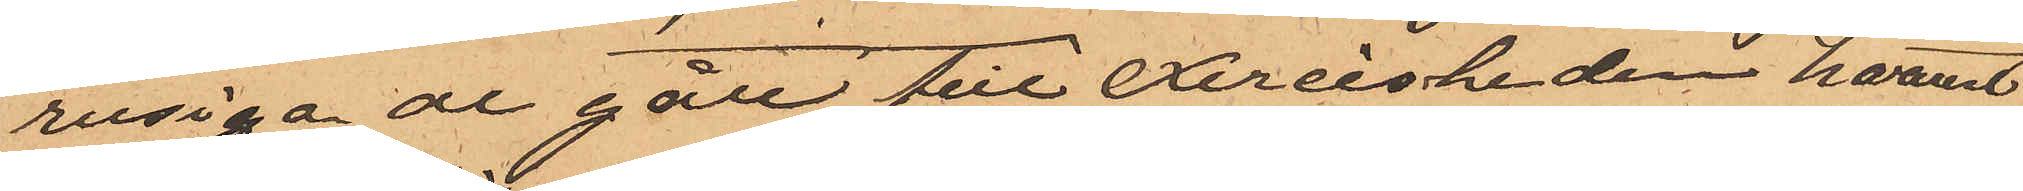rusiga de gått till Exercisheden hvarest
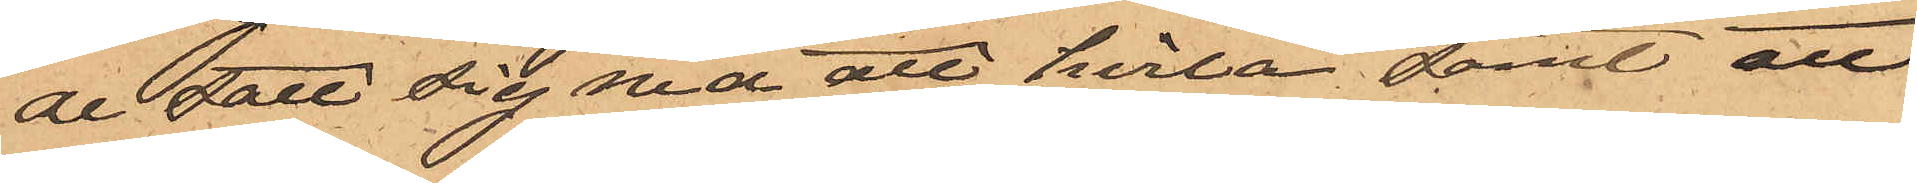de satt sig ned att hvila samt att
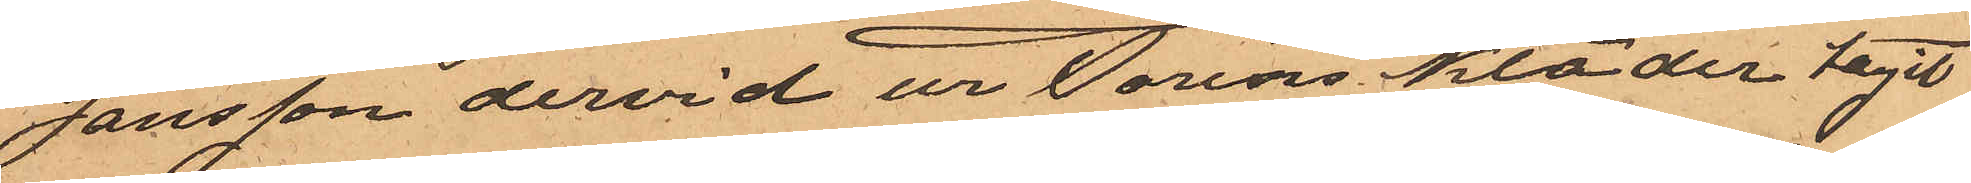Jansson dervid ur Torins kläder tagit
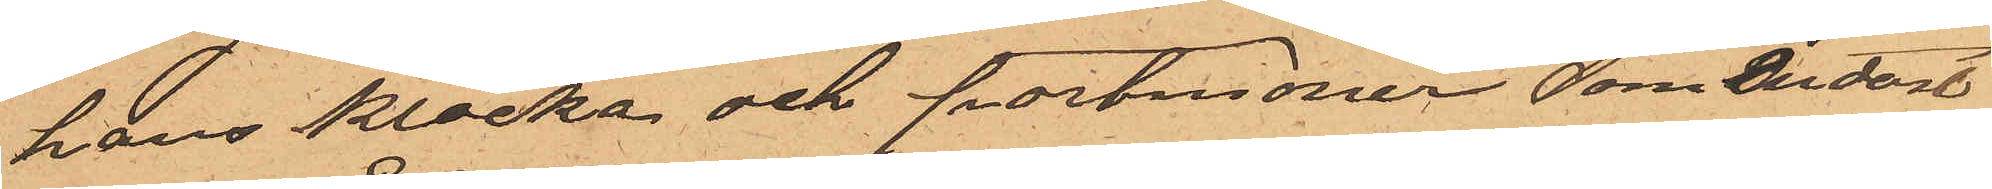hans klocka och portmonier, som endast
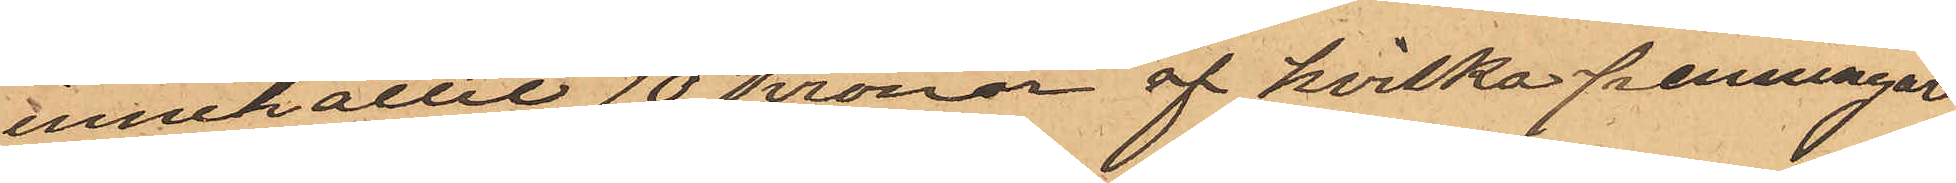innehållit 10 Kronor af hvilka penningar
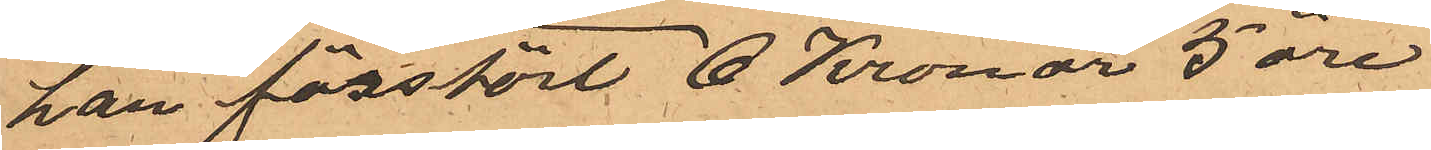han förstört 6 Kronor 5 öre
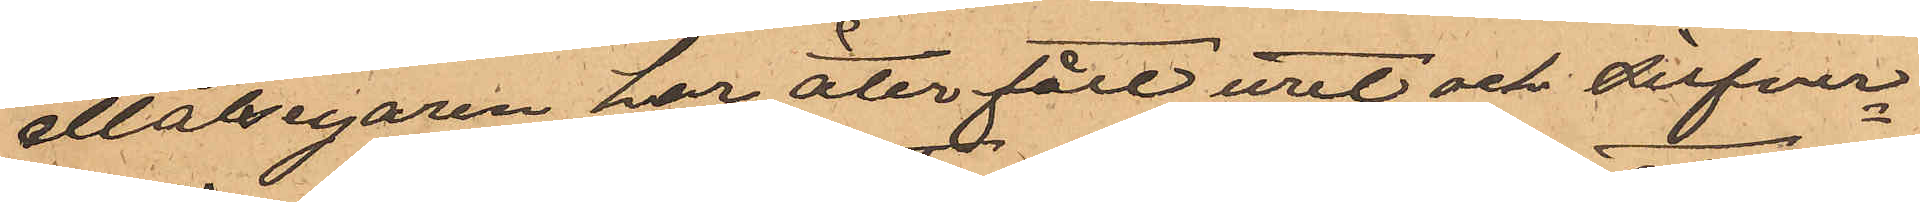målsegaren har åter fått uret och silfver¬
